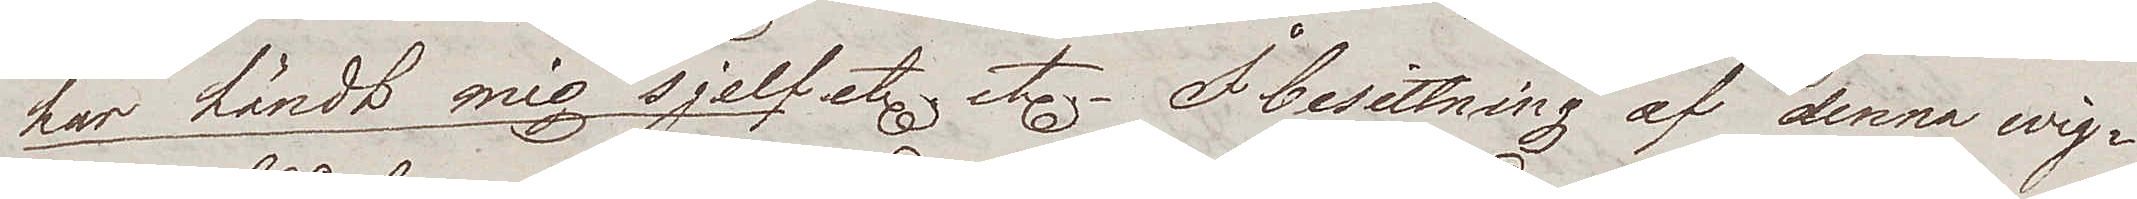har händt mig sjelf etc etc. – I besittning af denna wig¬
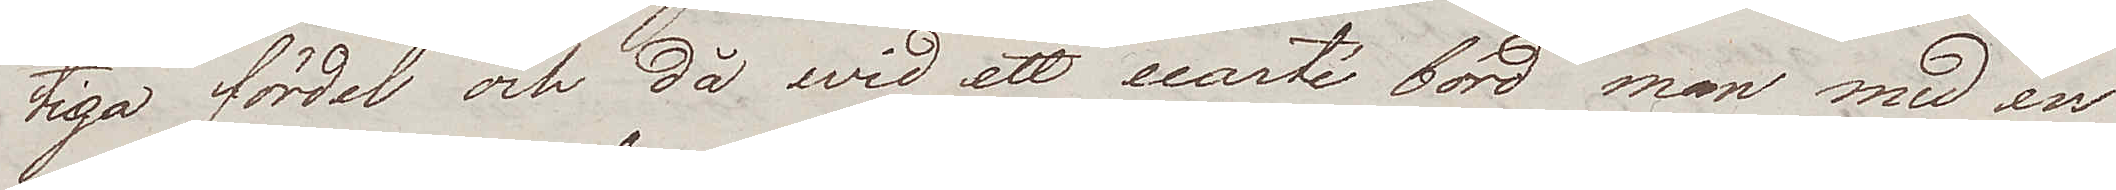tiga fördel och då wid ett ecarté bord man med en
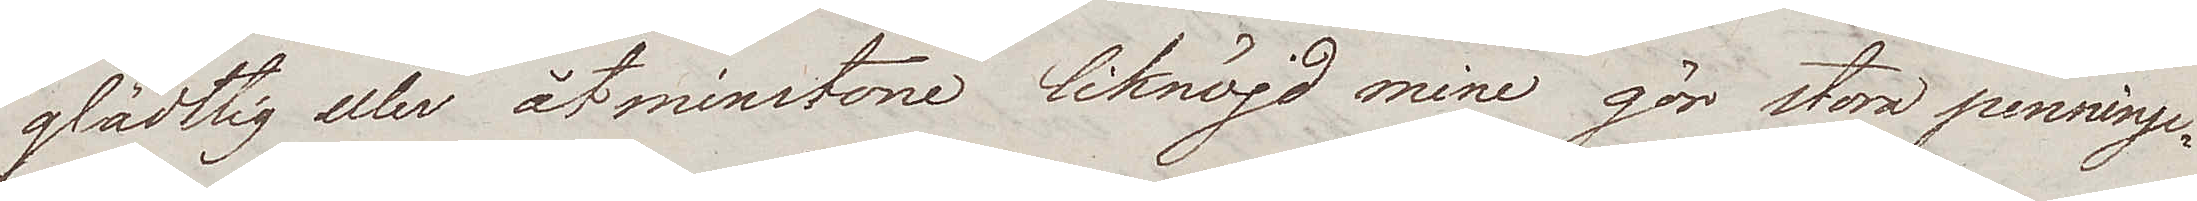glädtig eller åtminstone liknöjd mine gör stora penninge¬
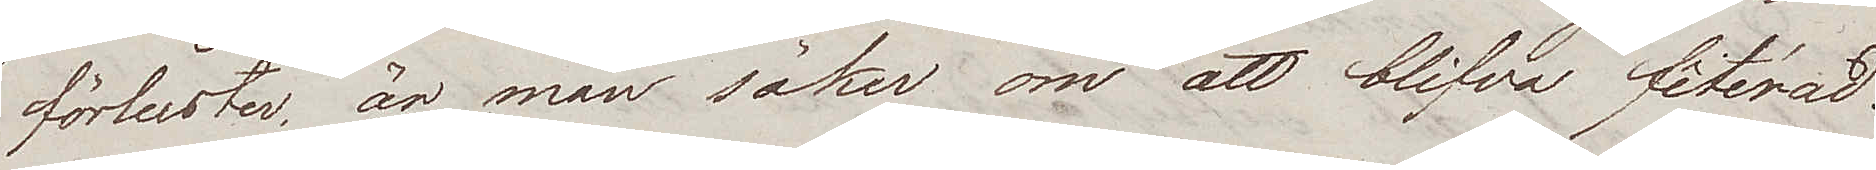förluster, är man säker om att blifva fêtérad.
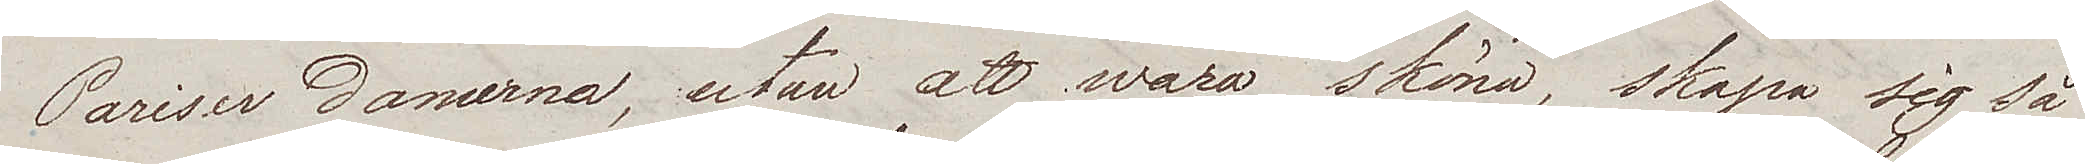Pariser damerna, utan att wara sköna, skapa sig så
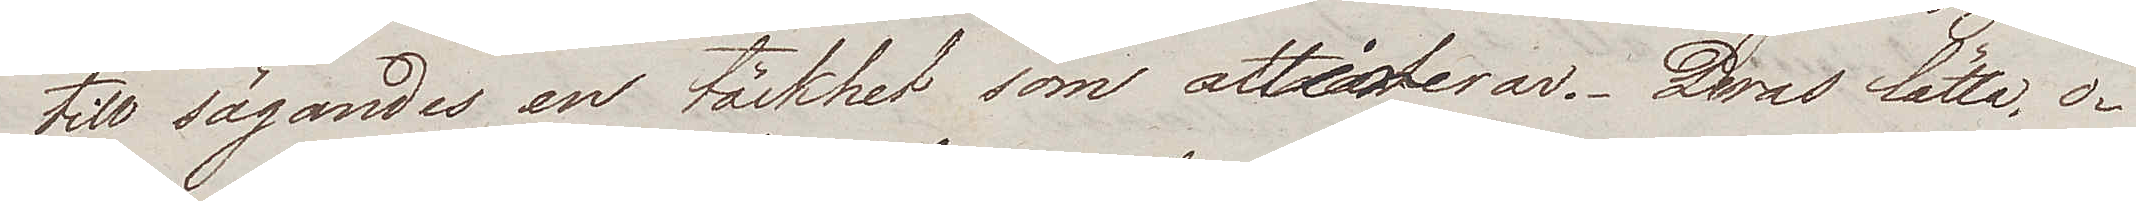till sägandes en täckhet som attraherar. Deras lätta, o¬
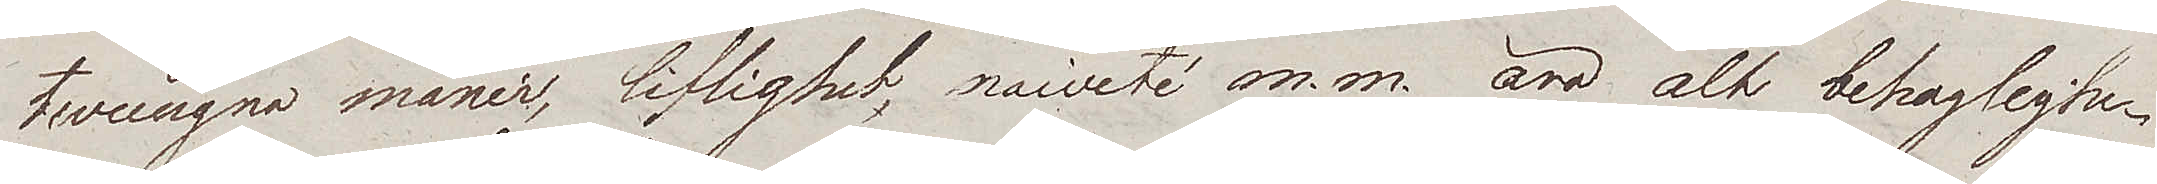twungna manér, liflighet, naivité m.m. äro alt behaglighe¬
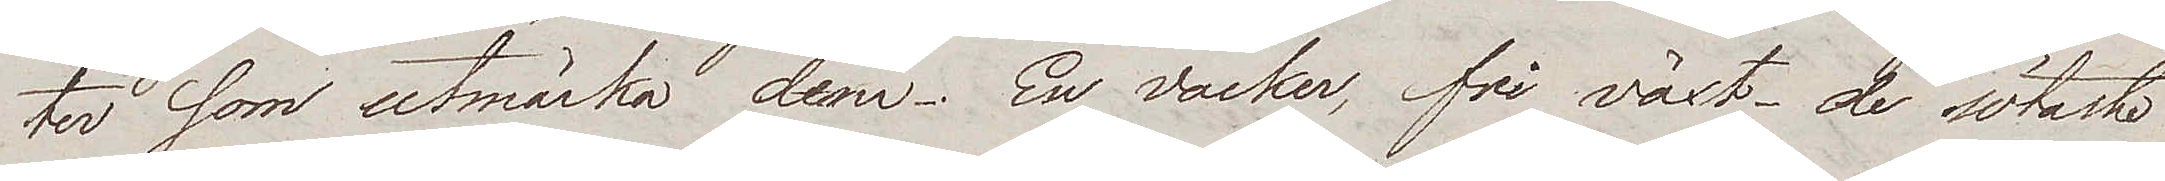ter som utmärka dem. En vacker fri växt – de sötaste
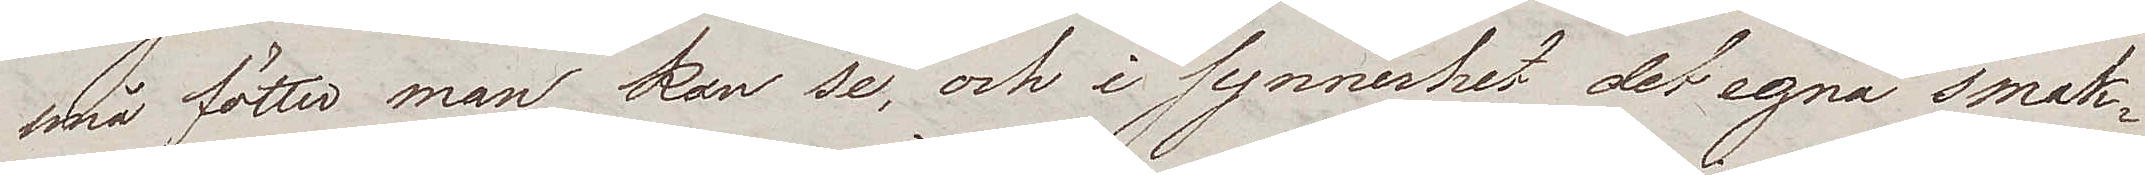små fötter man kan se, och i synnerhet det egna smak¬
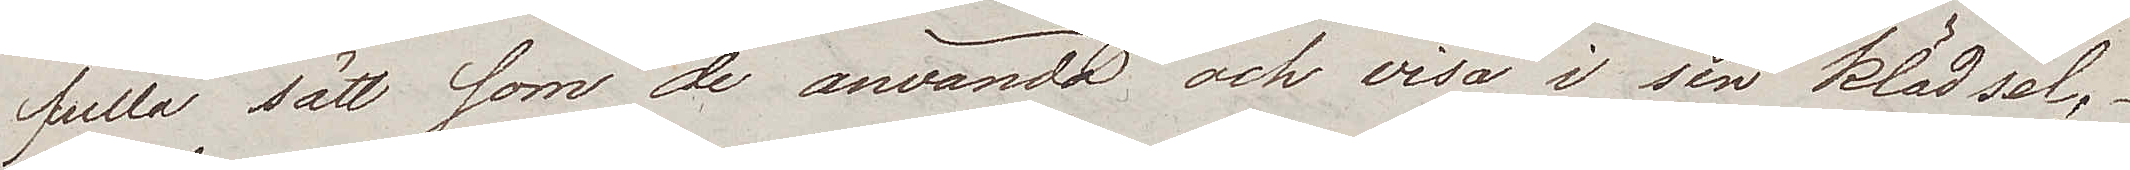fulla sätt som de använda och visa i sin klädsel,
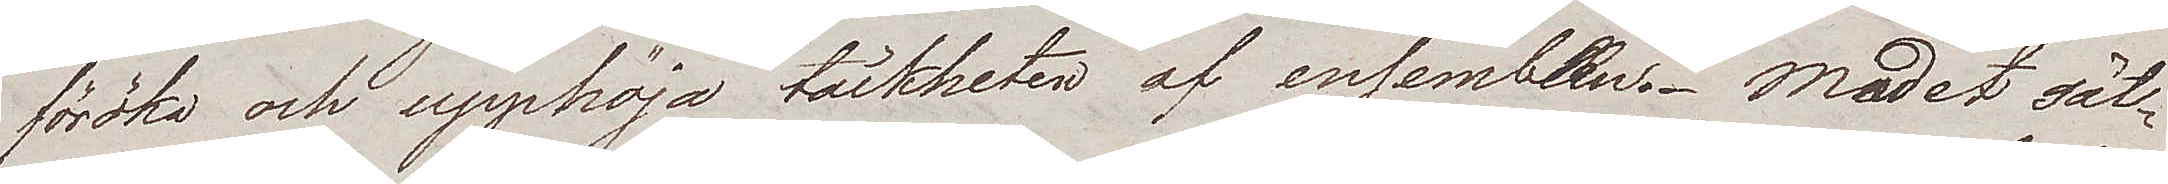föröka och upphöja täckheten af ensemblen. Modet sät¬
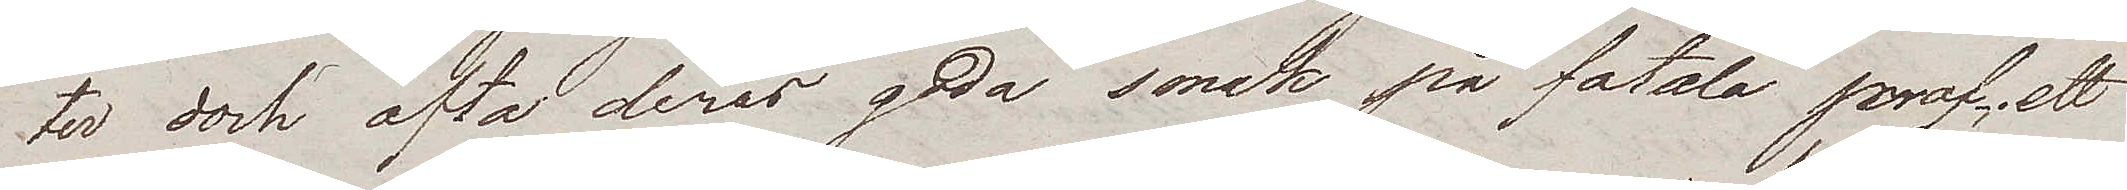ter dock ofta deras goda smak på fatala prof; ett
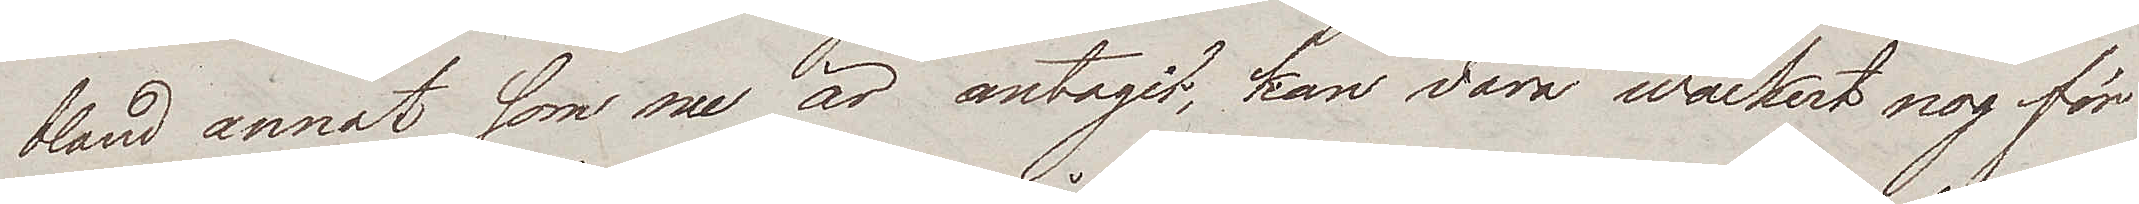bland annat som nu är antagit, kan vara wackert nog för
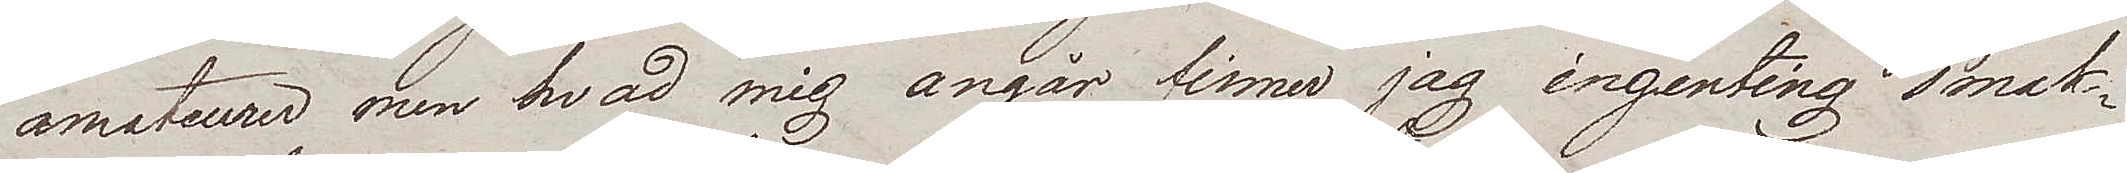amateurer men hvad mig angår finner jag ingenting smak¬
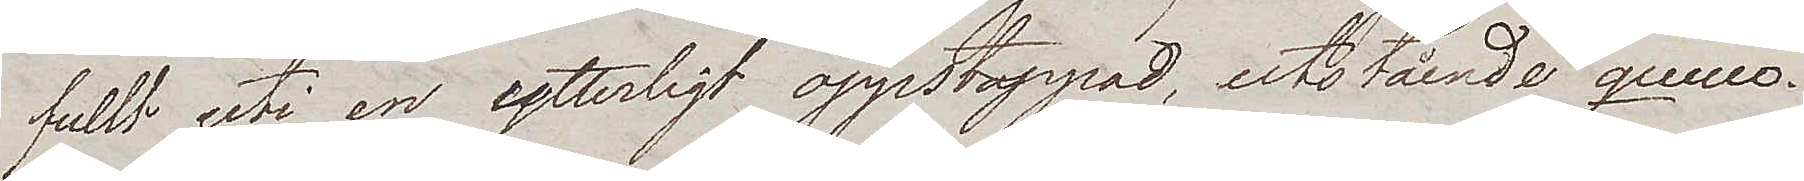fullt uti en ytterligt oppstoppad, utstående queu.
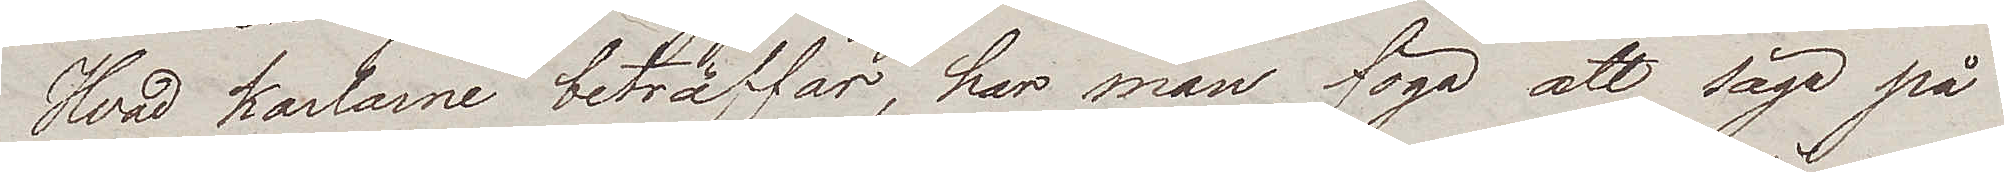Hvad karlarne beträffar, har man föga att säga på
